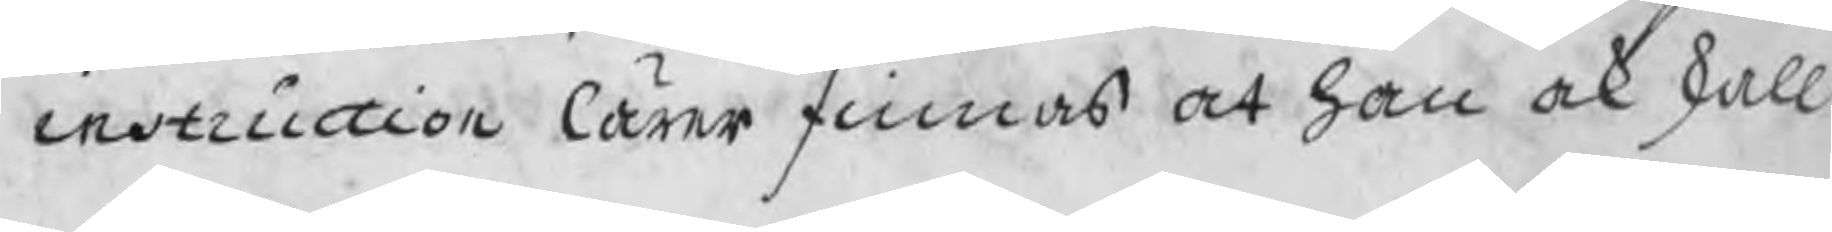instruction lärer finnas at han ock skall
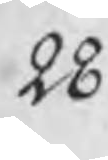28.
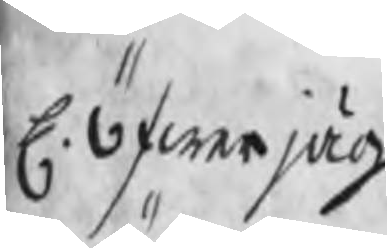H. Öfwerjäg¬
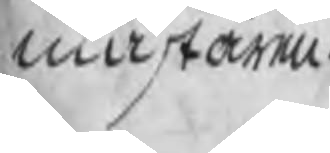mästaren
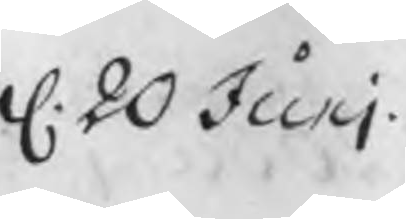d. 20 Junj
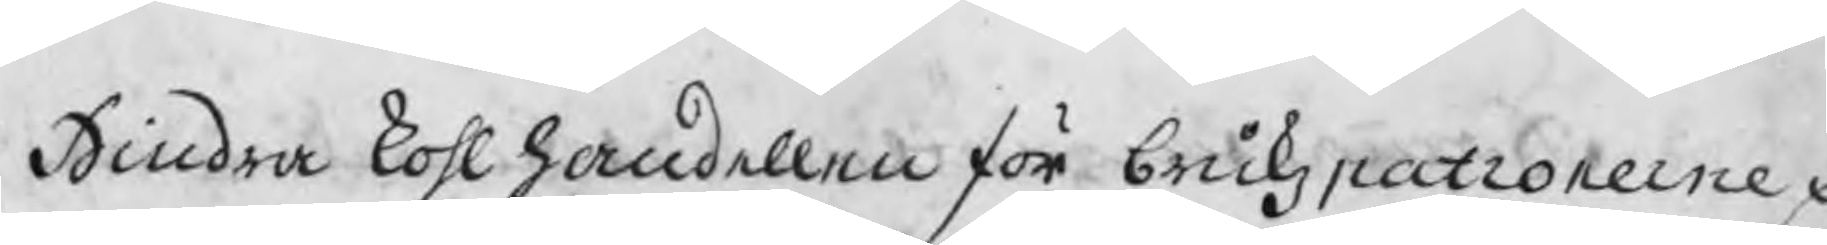Hindra kohlhanellen för brukzpatronerne p
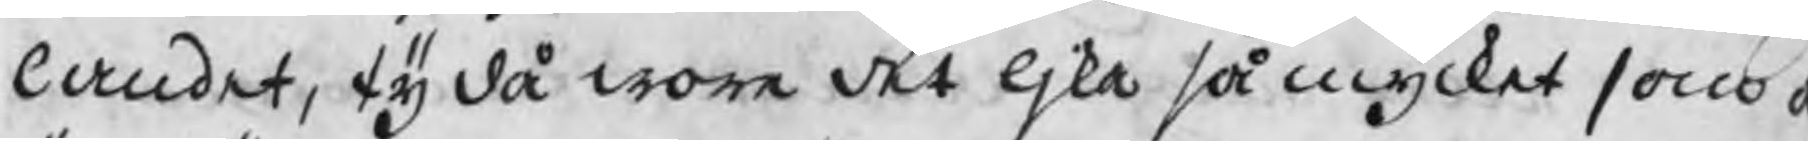landet, ty då wore det ljka så mycket som a
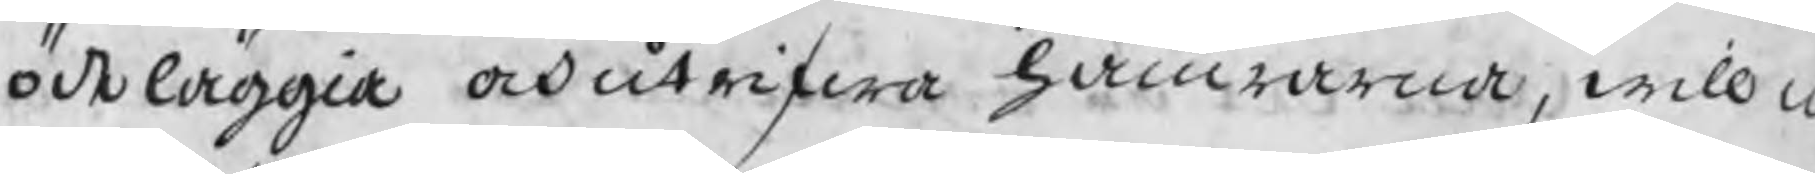ödeläggia och utrifwa hamrarna, will n
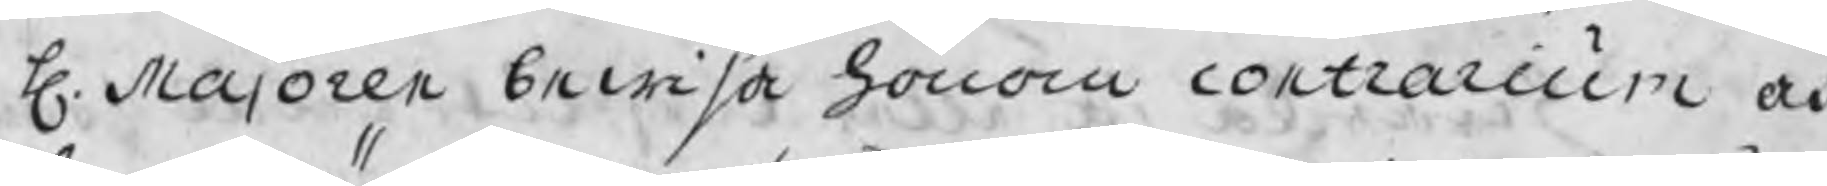H. Majoren bewisa honom contrarium a
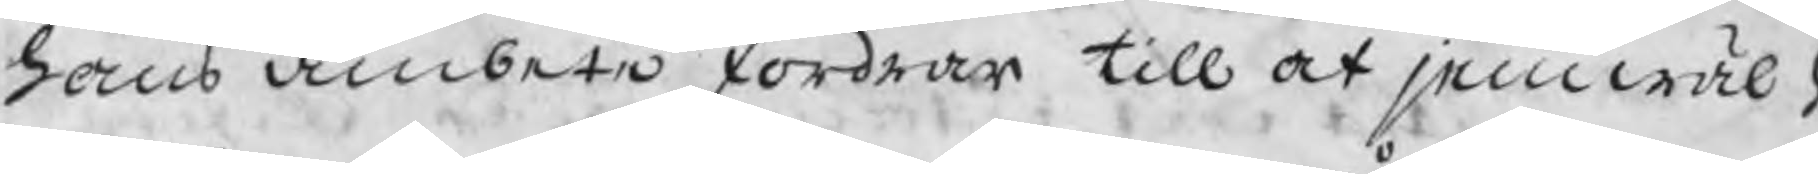hans ämbete fordrar till at jemwäl
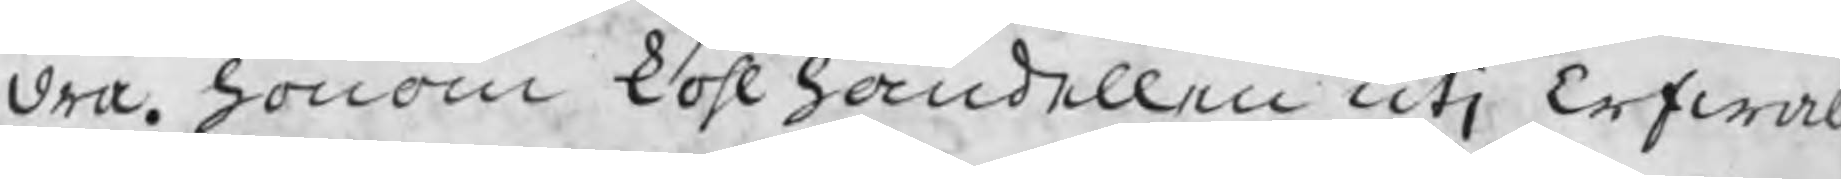dra. honom kohlhandellen utj Erwal
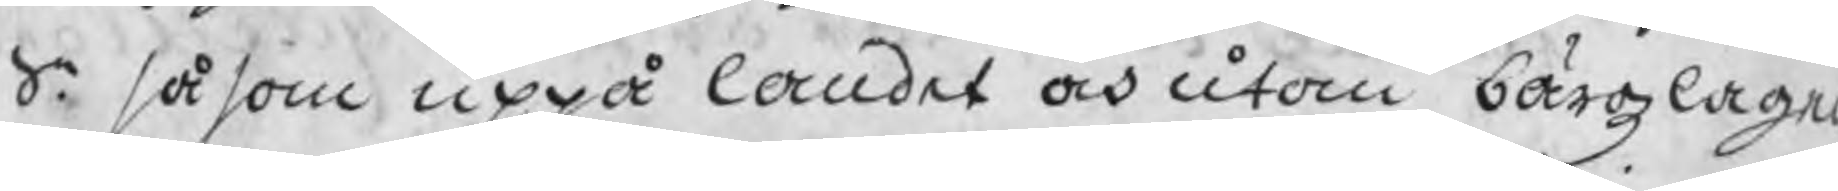S. såsom uppå landet och utom bärgzlage
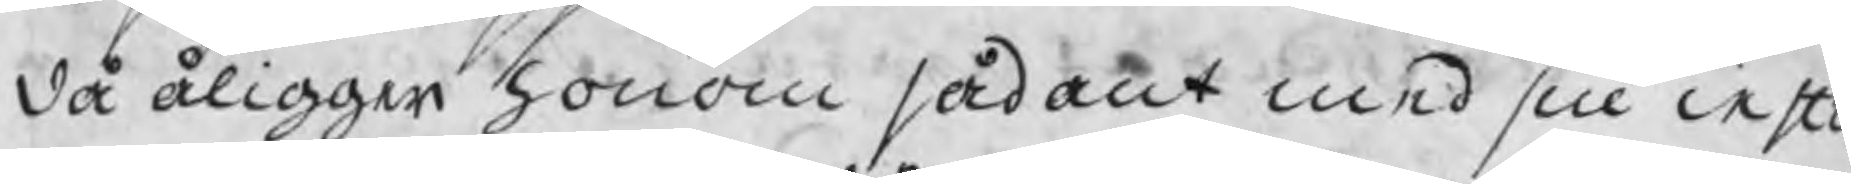då åligger honom sådant med sin inst
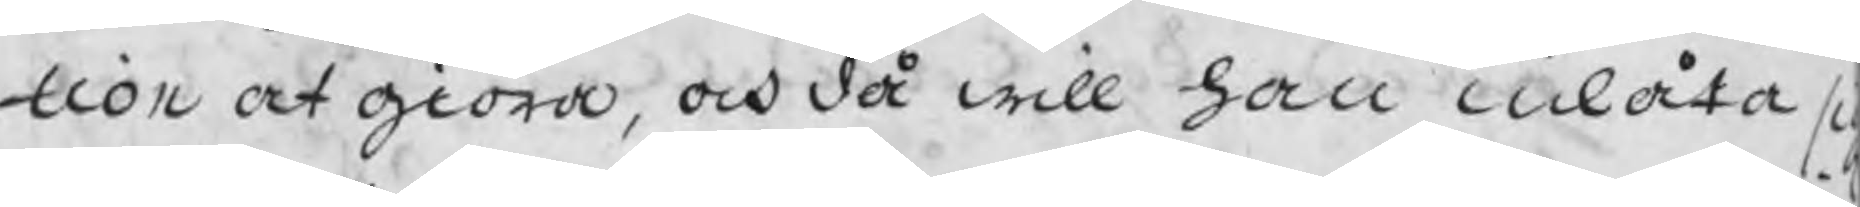tion at giöra, och då will han inlåta si
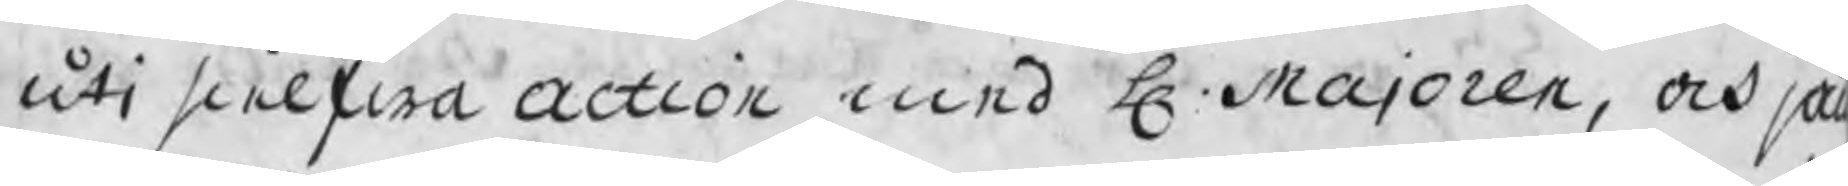uti sielfwa action med H. Majoren, och jä
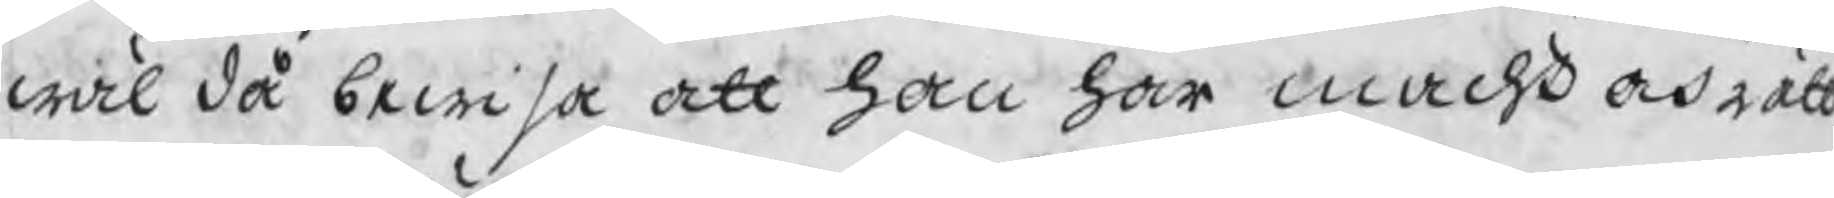wäl då bewisa att han har macht och rätt
